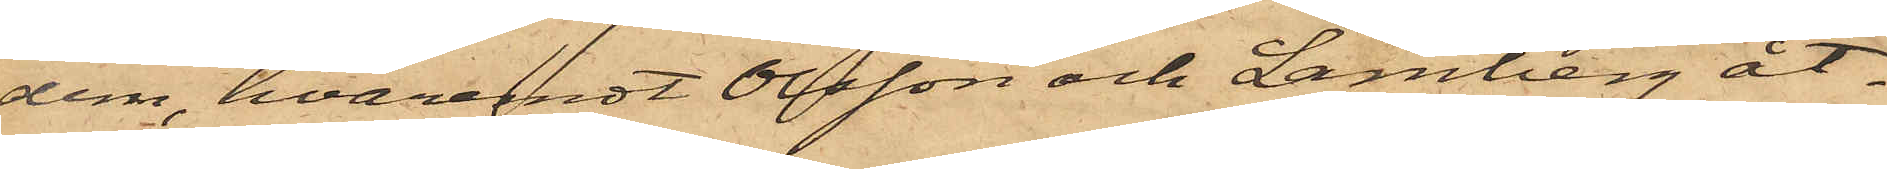dem, hvaremot Olsson och Lamberg åt¬
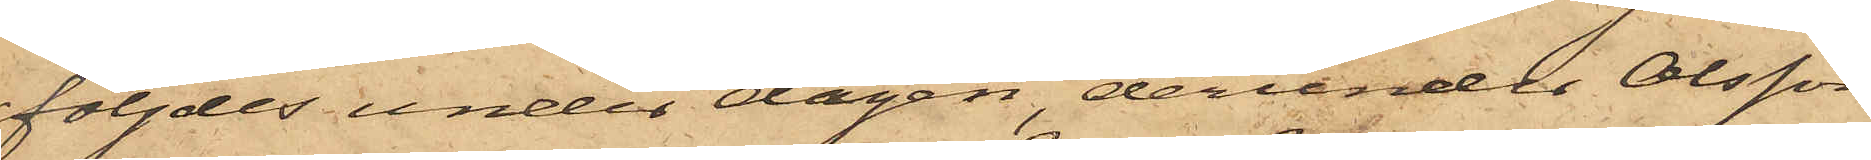följdes under dagen, derunder Olsson
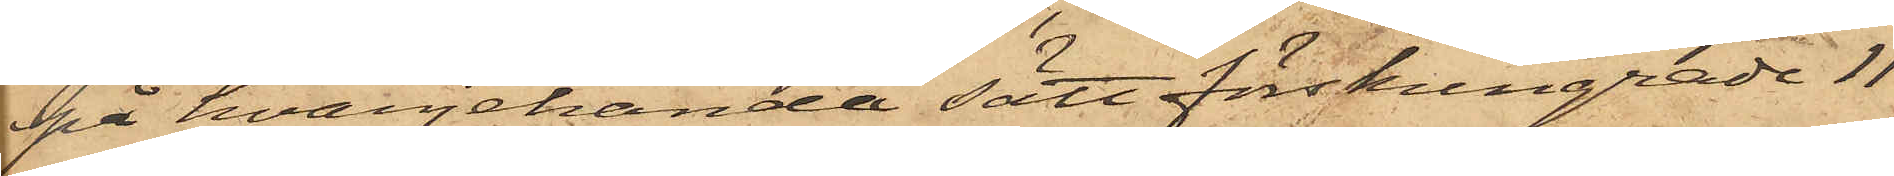på hvarjehanda sätt förskingrade 11
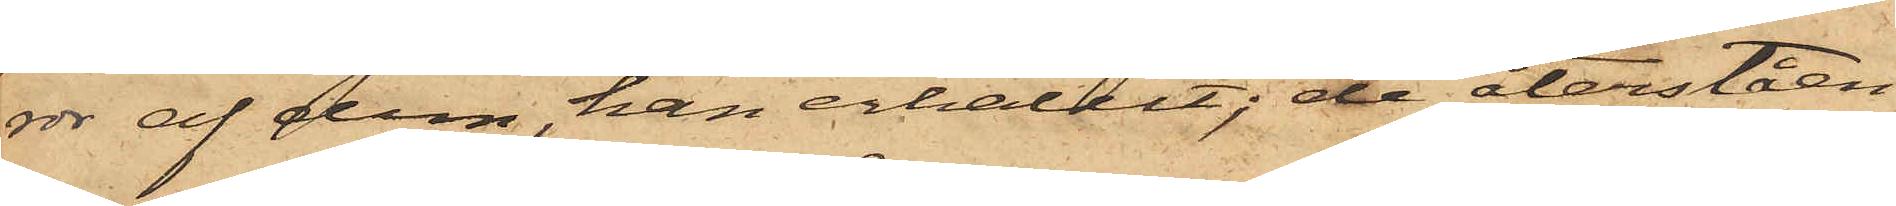rdr af dem, han erhållit; de återståen¬
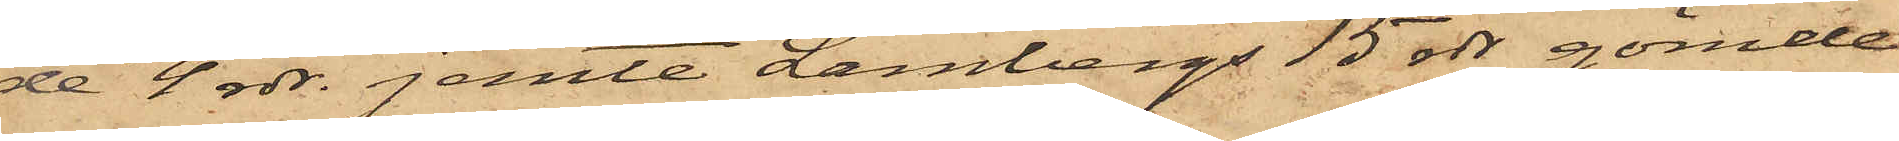de 4 rdr. jemte Lambergs 15 rdr gömde
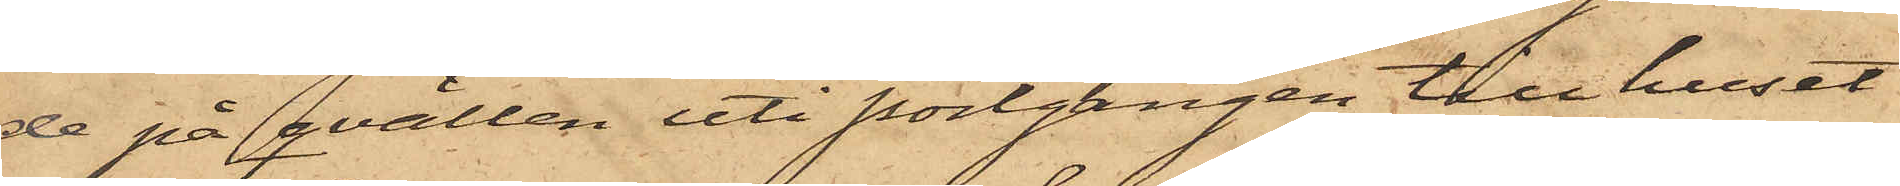de på qvällen uti portgången till huset
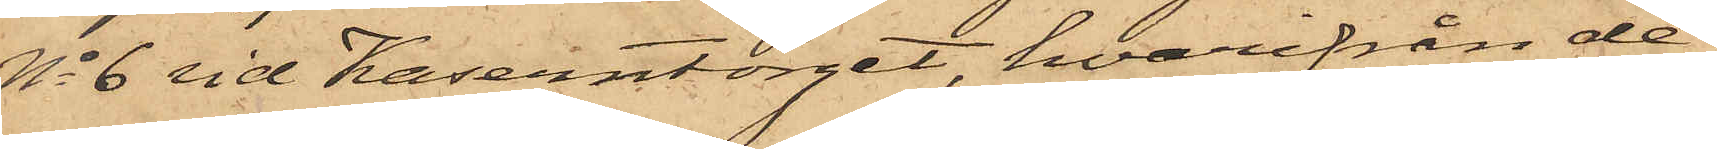No 6 vid Kaserntorget, hvarifrån de
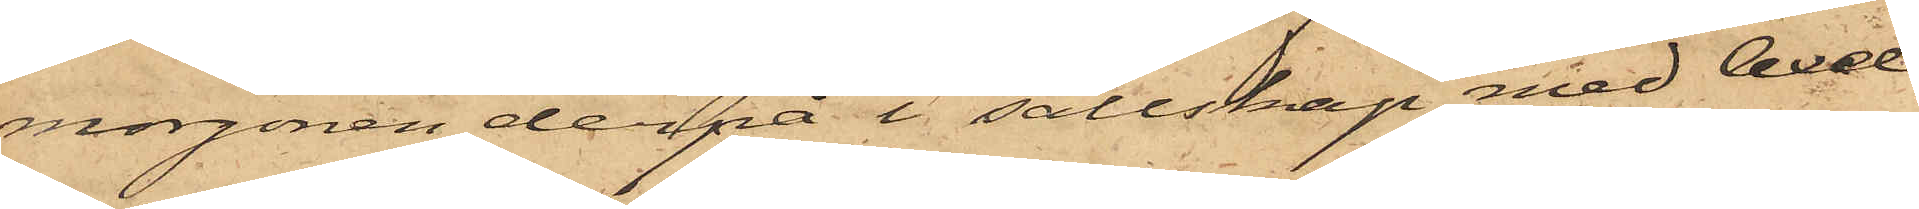morgonen derpå i sällskap med Axel
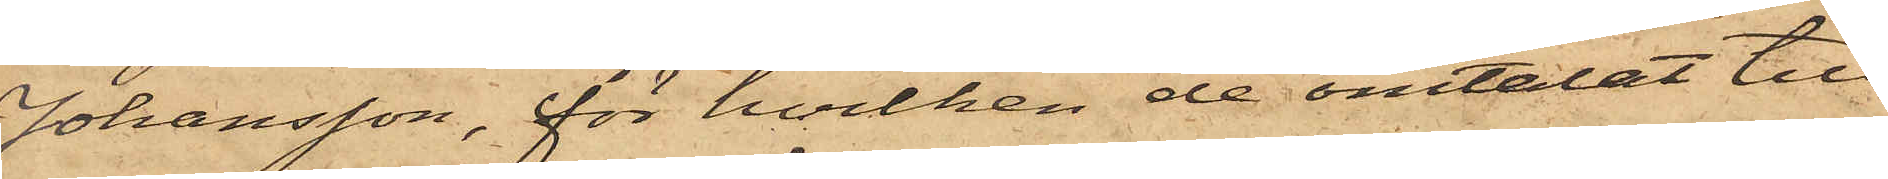Johansson, för hvilken de omtalat till¬
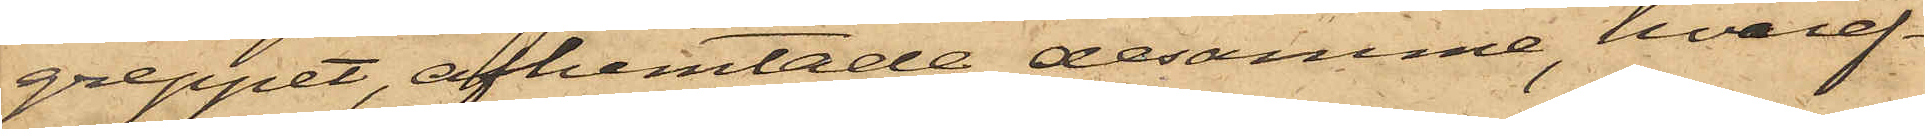greppet, afhemtade desamme, hvaref¬
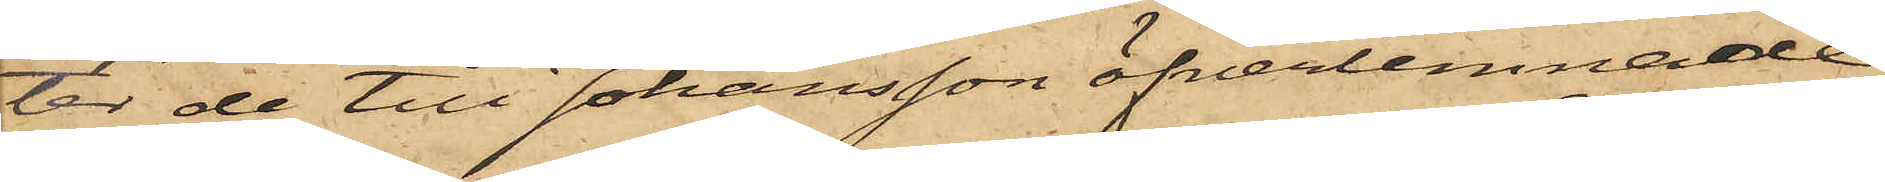ter de till Johansson öfverlemnade
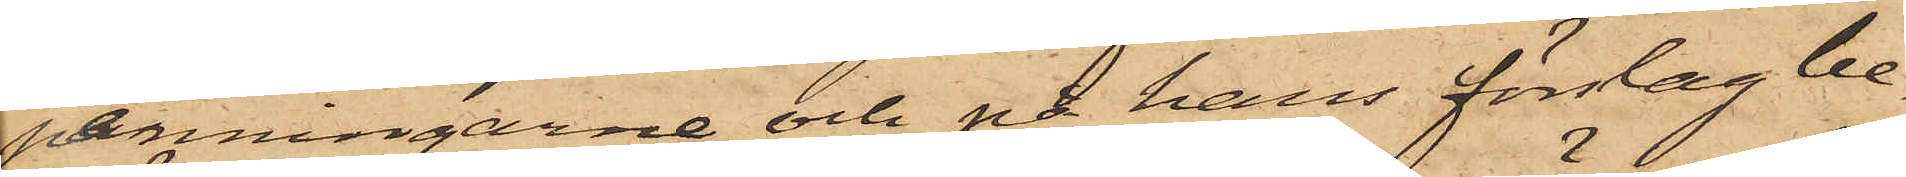penningarne och på hans förslag be¬
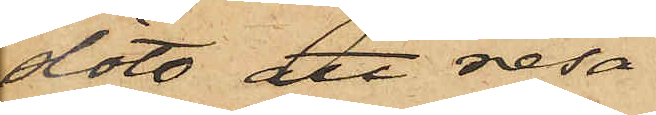slöto att resa
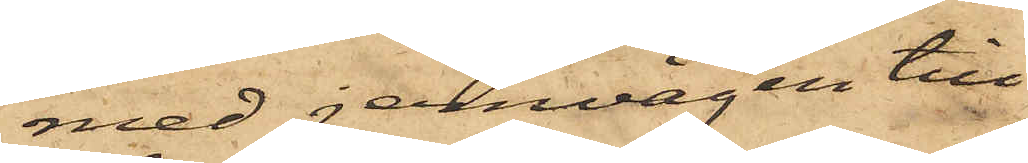med jernvägen till
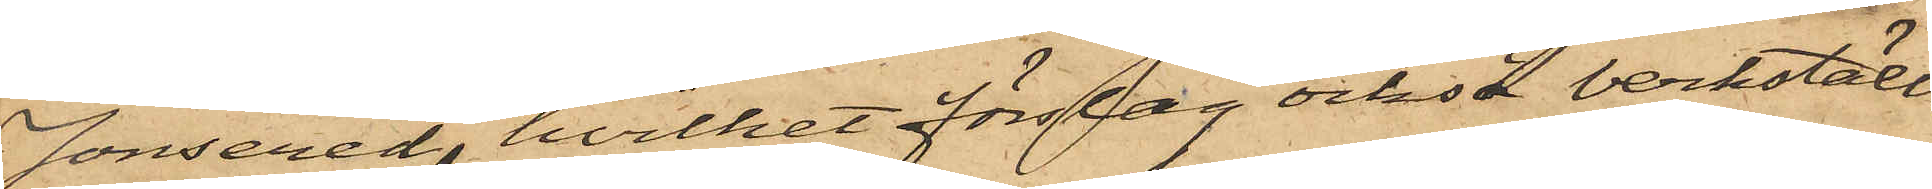Jonsered, hvilket förslag också verkställ¬
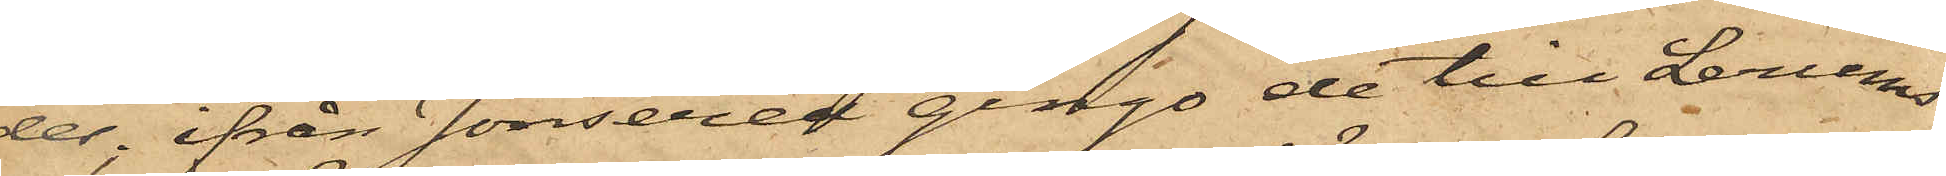des; ifrån Jonsered gingo de till Lerums
